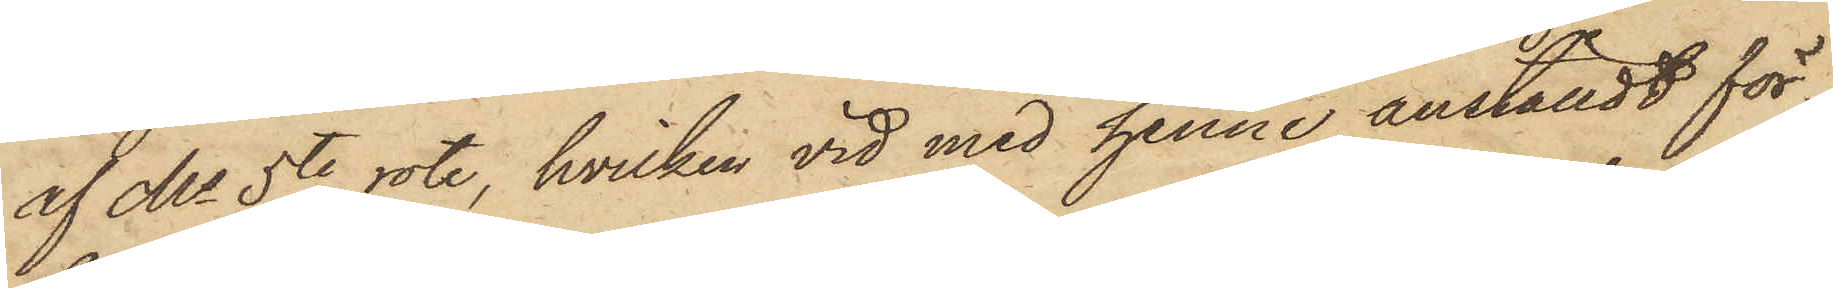af Ms 5te rote, hvilken vid med henne anställdt för¬
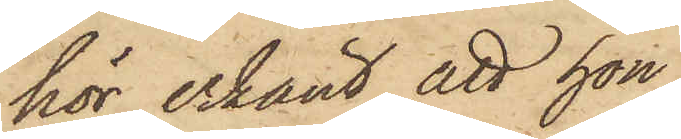hör erkänt, att hon,
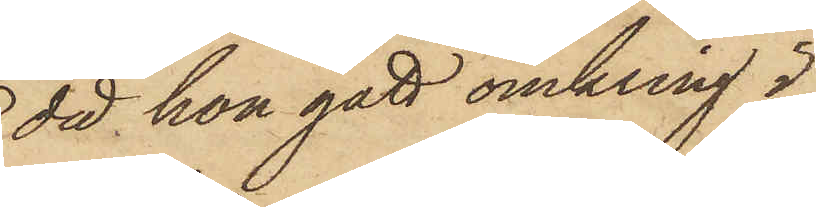då hon gått omkring i
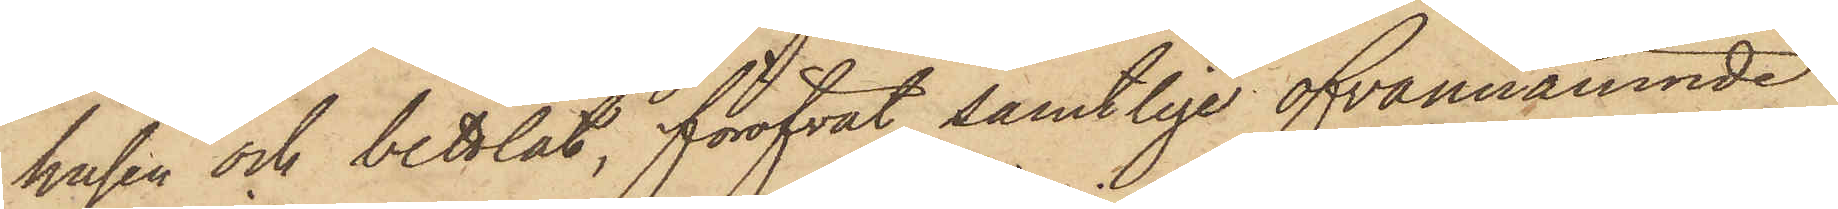husen och bettlat, föröfvat samtlige ofvannämnde
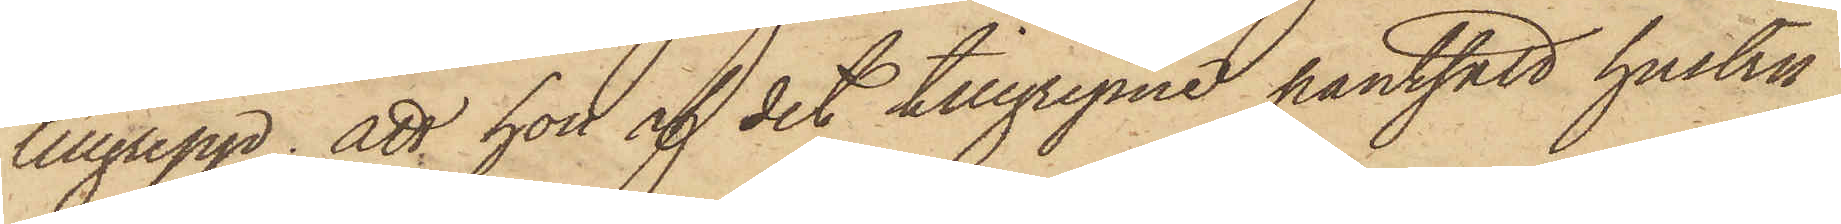tillgrepp; att hon af det tilllgripne pantsatt hustru
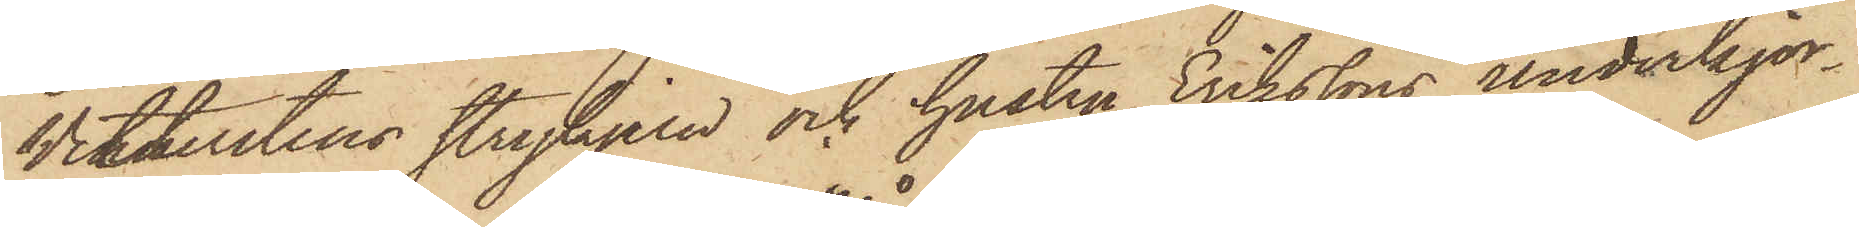Wetterstens strykjern och hustru Erikssons underkjor¬
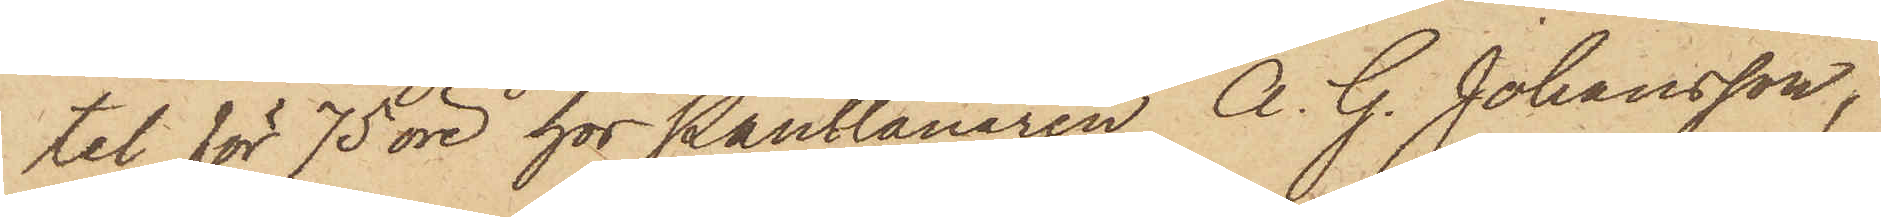tel för 75 öre hos Pantlånaren A. G. Johansson,
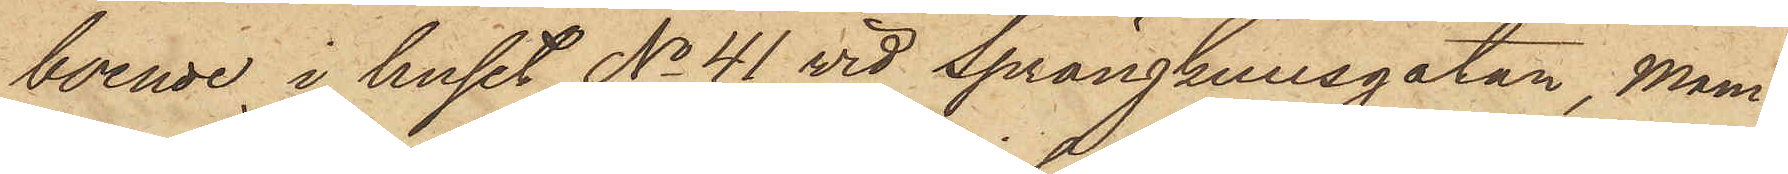boende i huset No 41 vid Sprängkullsgatan, Mam¬
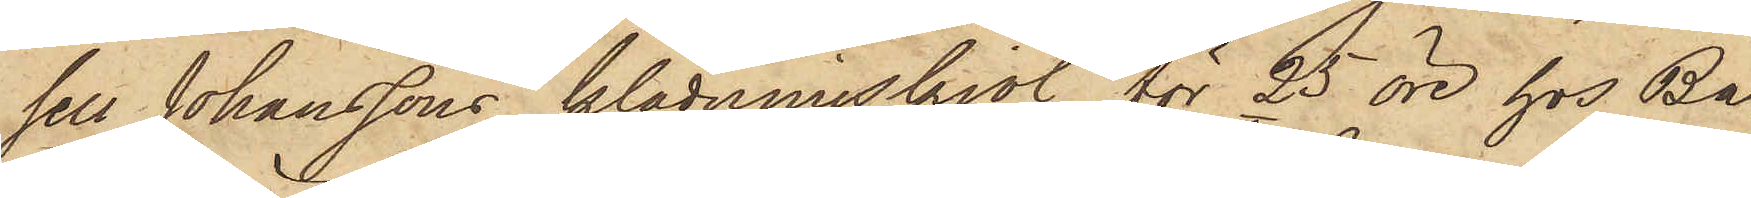sels Johanssons klädningskjol för 25 öre hos Ba¬
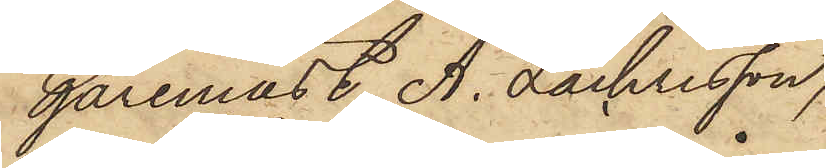garemäst. A. Zachrisson,
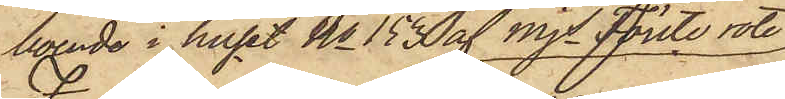boende i huset No 153 af Mjs Förste rote
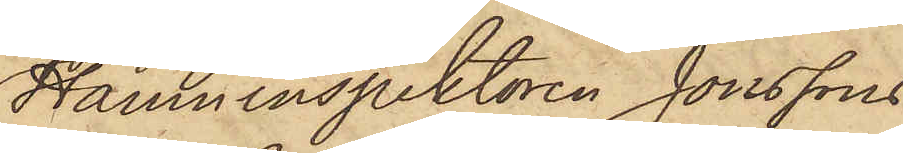Hamninspektoren Jonssons
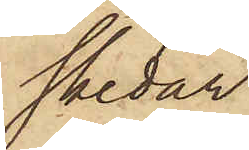skedar
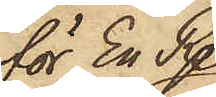för En R.
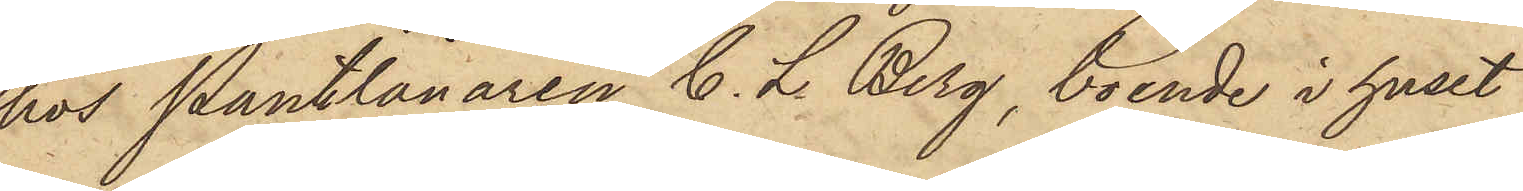hos Pantlånaren C. L. Berg, boende i huset
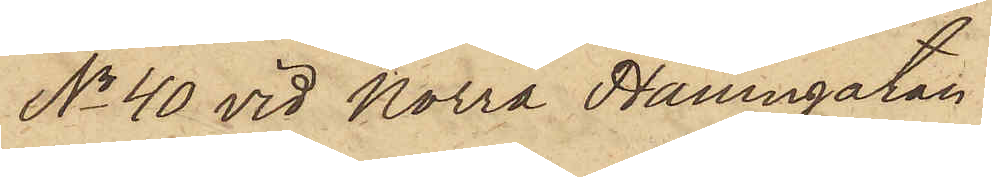No 40 vid Norra Hamngatan
